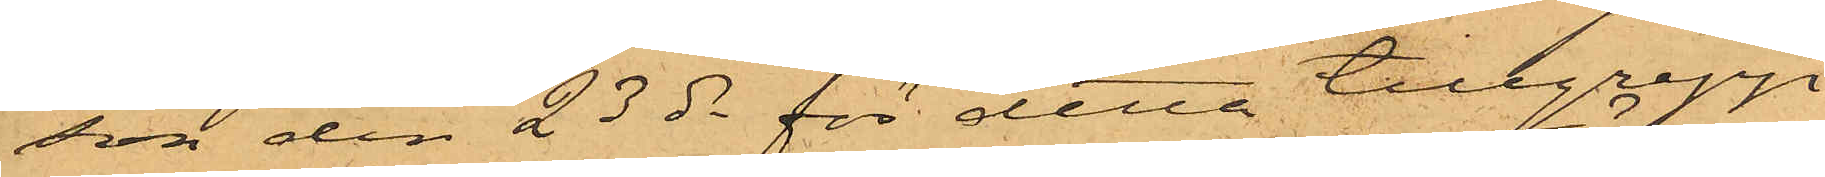son den 23 ds för detta tillgrepp
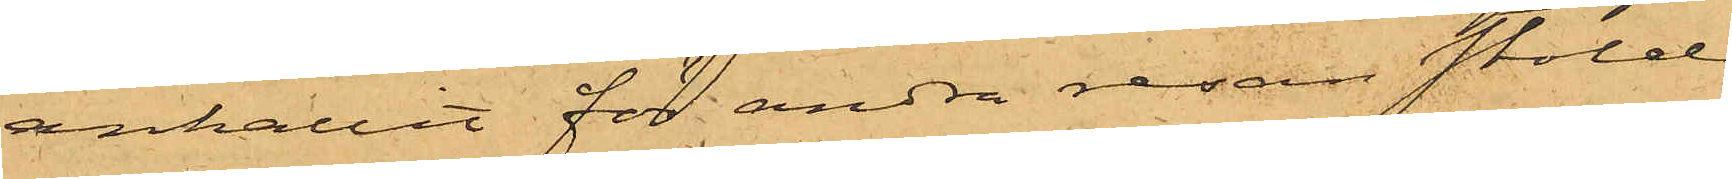anhållit för andra resan stöld
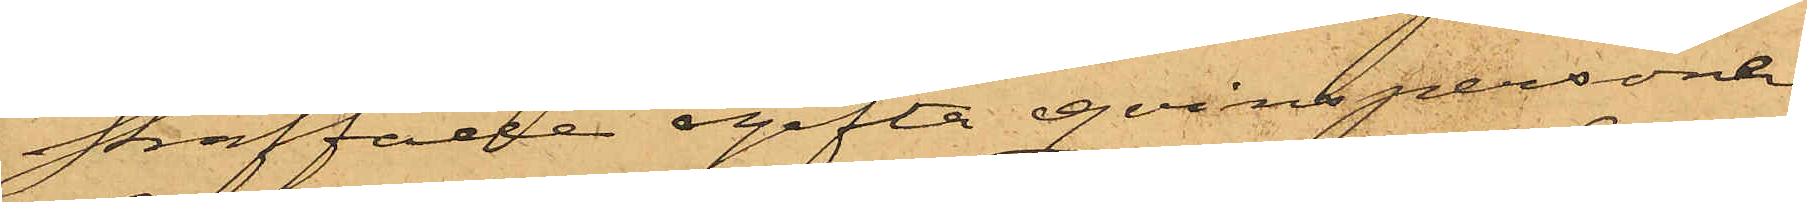straffade ogifta qvinspersonen
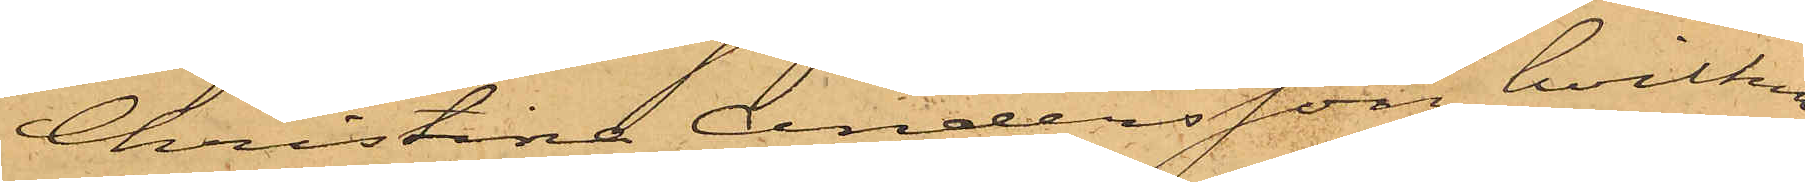Christina Andersson, hvilken
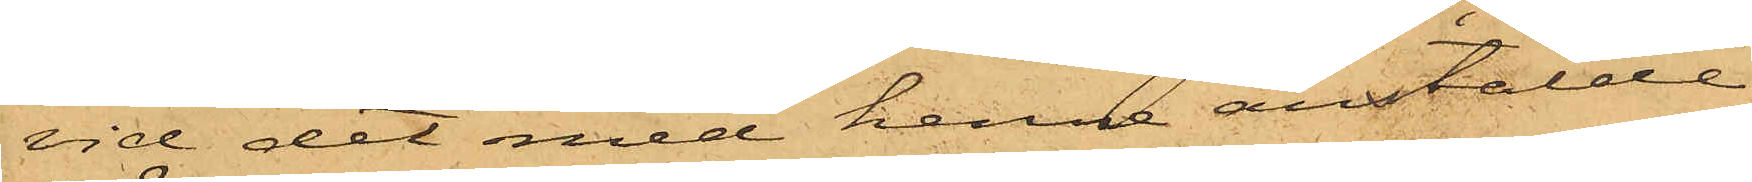vid det med henne anstälde
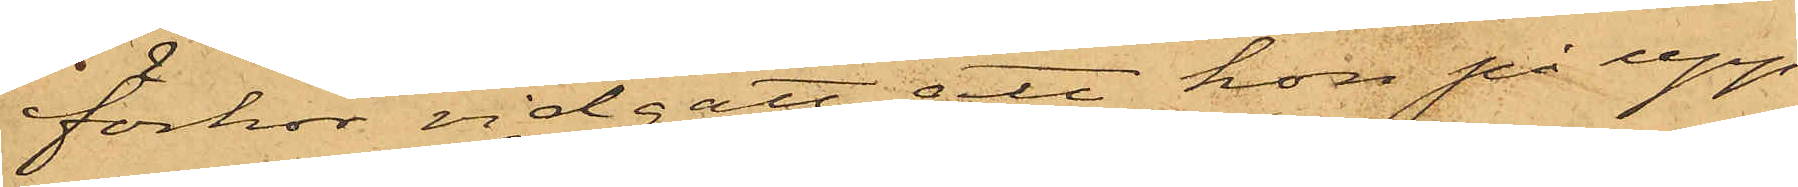förhör vidgått att hon på upp¬
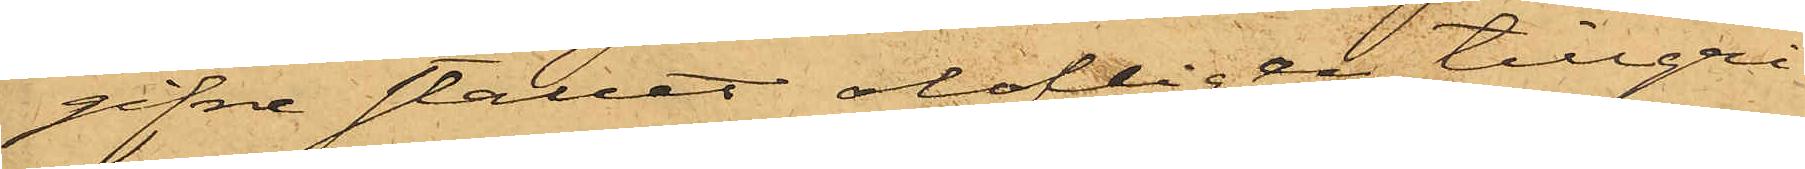gifne stället olofligen tillgri¬
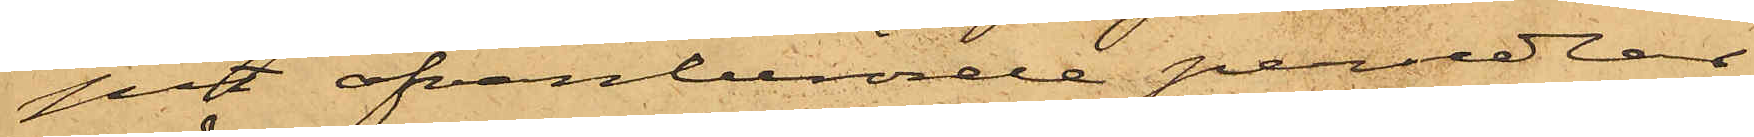pit ofvanberörde persedlar
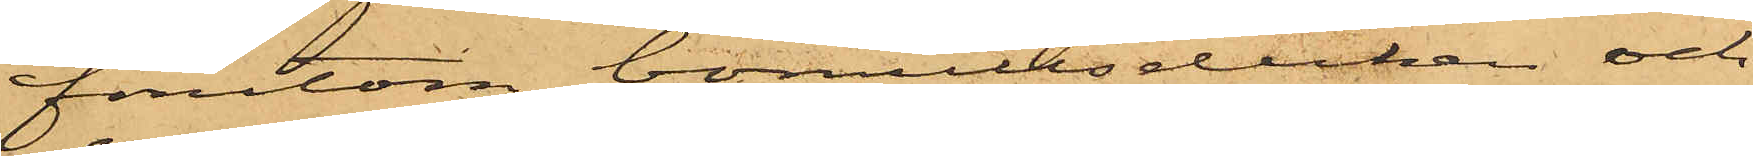förutom bomullsduken och
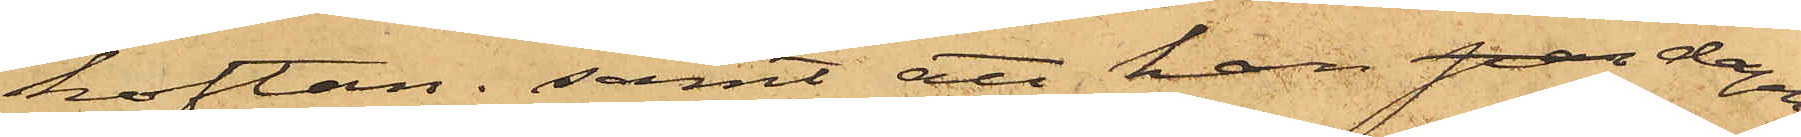koftan; samt att hon pan dagen
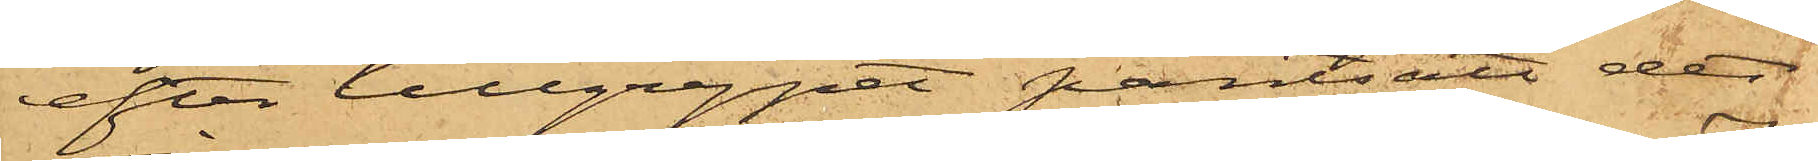efter tillgreppet pantsatt det
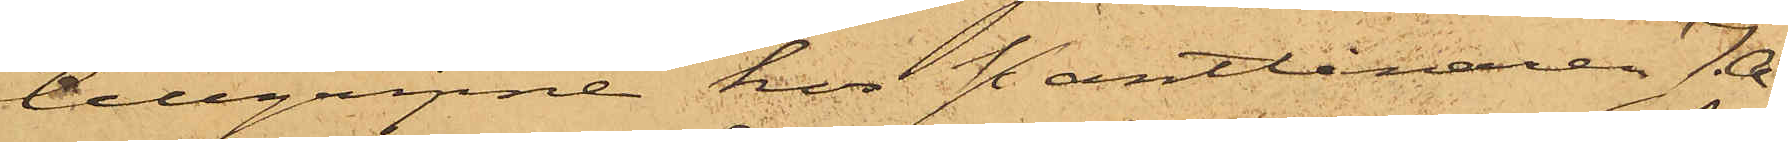tillgripne hos Pantlånaren J. A.
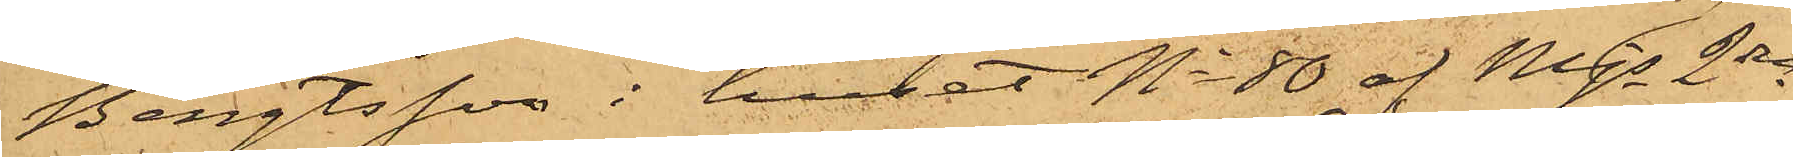Bengtsson i huset No 80 af Mjs 2dra
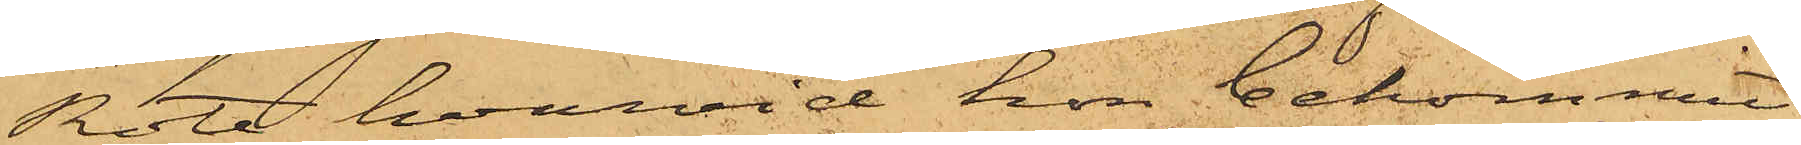Rote, hvarvid hon bekommit
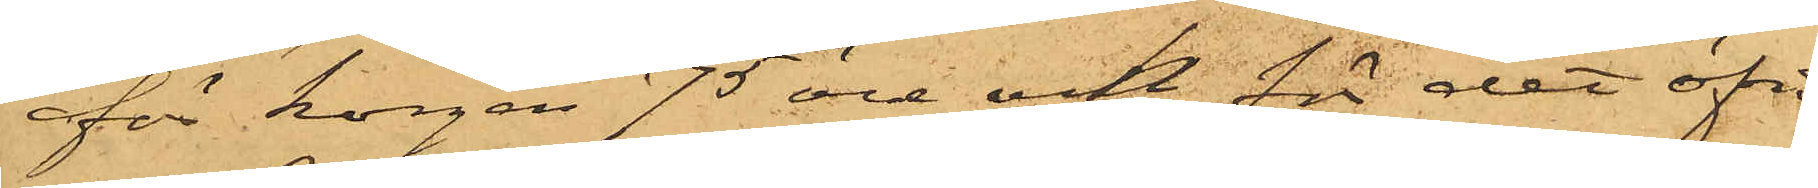för korgen 75 öre och för det öfri¬
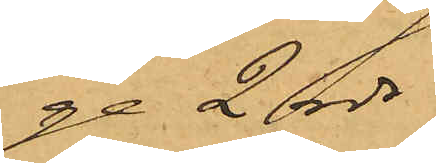ge 2 rdr.
